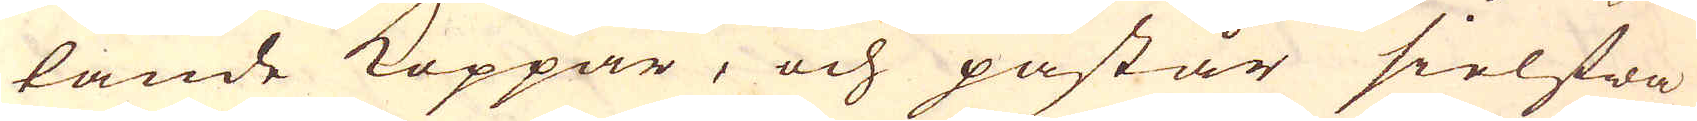tande Koppar, och påstår sielfwa
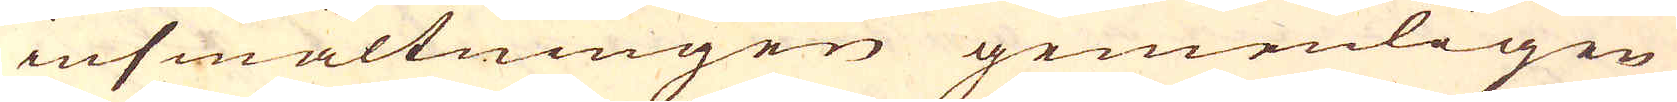insmältningen gemenligen
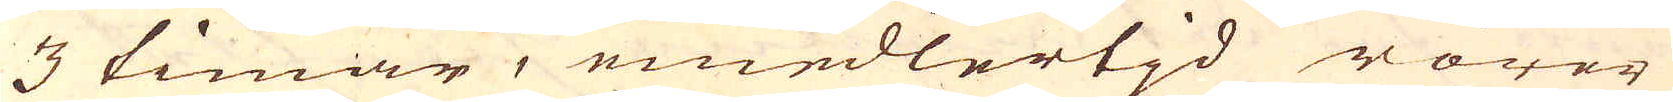3 timar, emedlertjd rörer
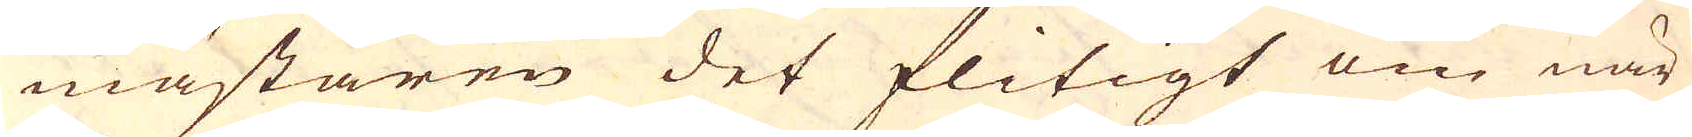mästaren det flitigt om när
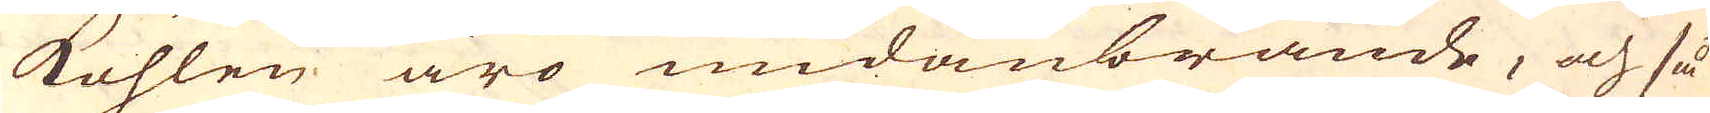kohlen äro undanbrände, och så
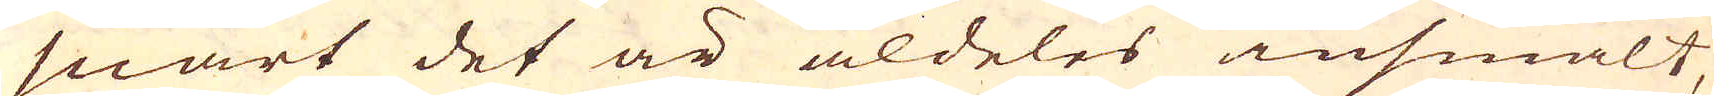snart det är aldeles insmält,
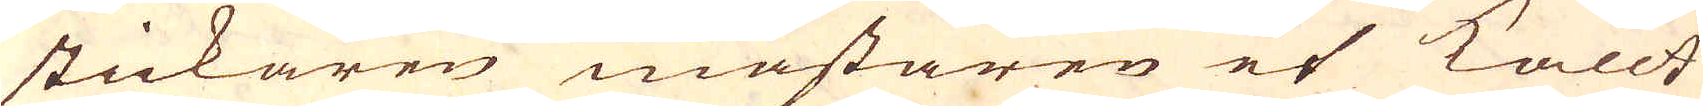stickaren mästaren et kallt
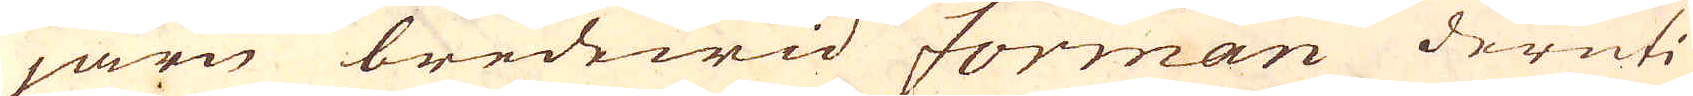järn bredewid forman deruti
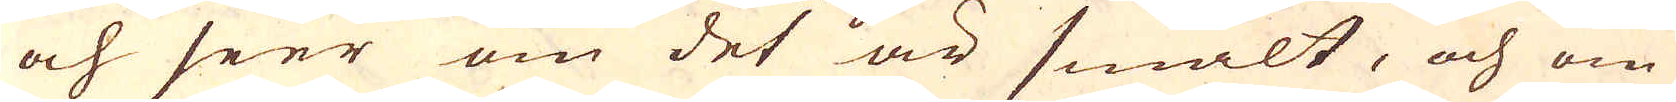och seer om det är smält, och om
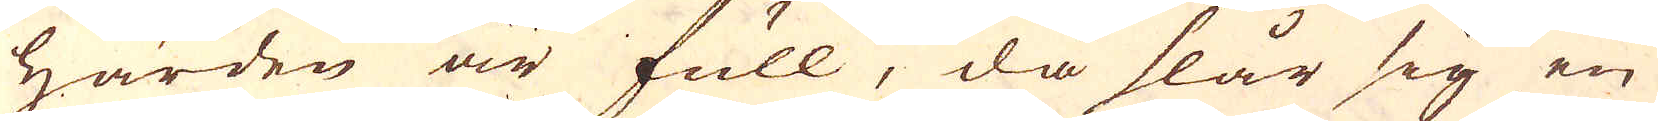härden är full, då slår sig en
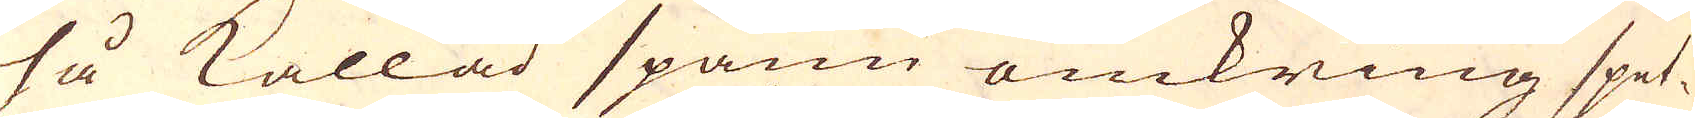så kallad spann omkring spet-
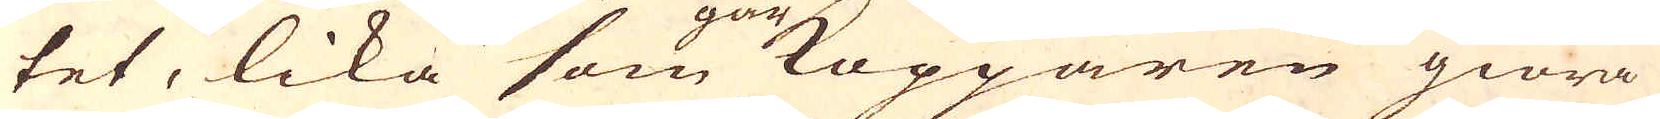tet, lika som Kopparen giöra
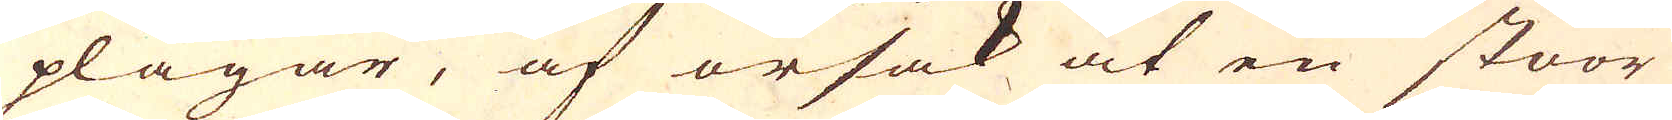plägar, af orsak at en stoor
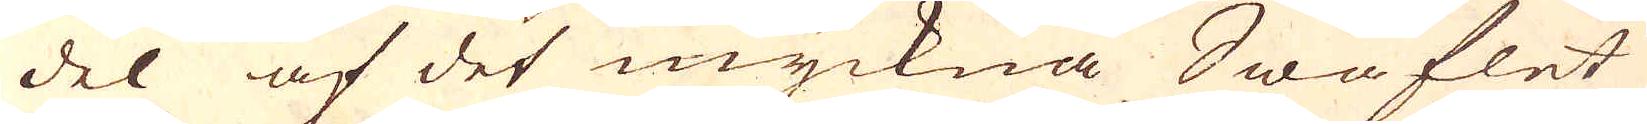del af det myckna Swaflet
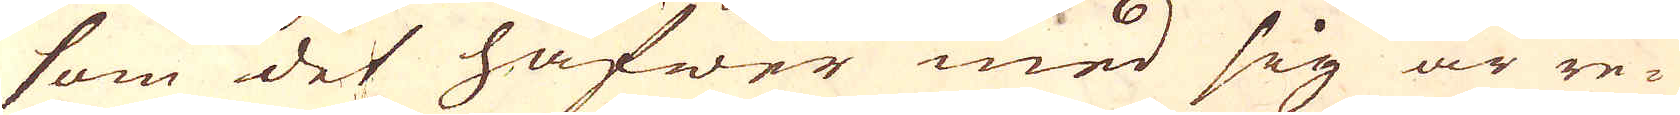som det hafwer med sig är re-
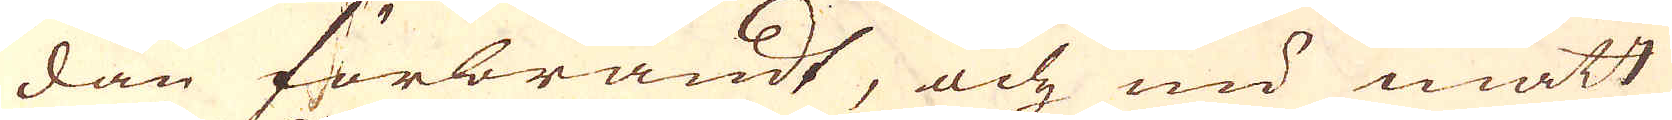dan förbrändt, och nu matt
